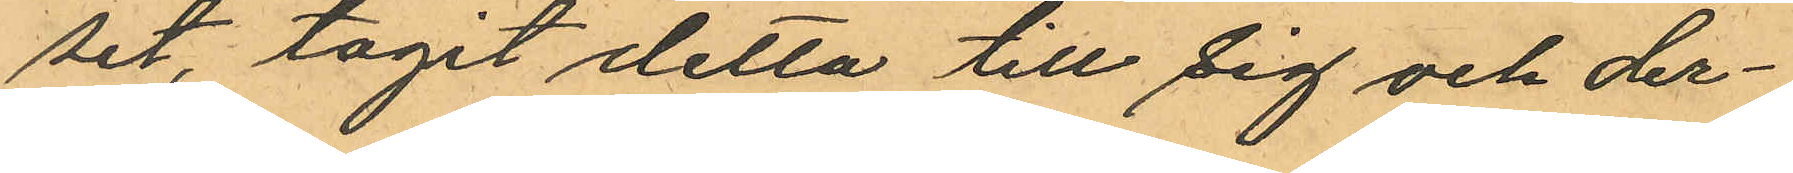set, tagit detta till sig och der¬
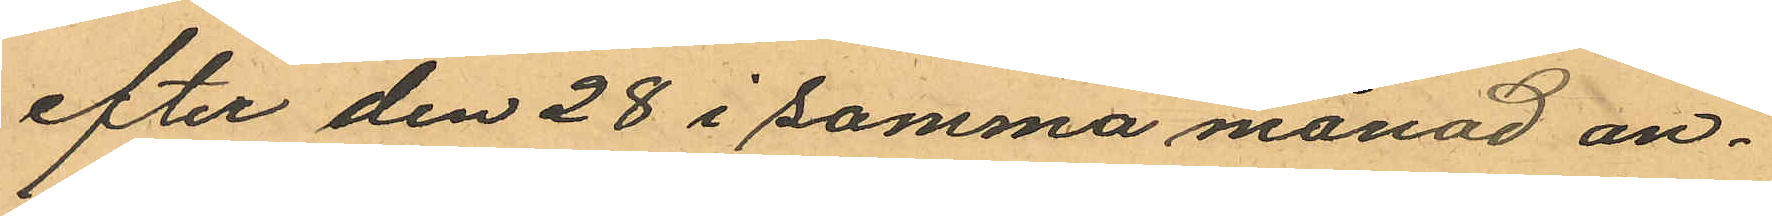efter den 28 i samma månad an¬
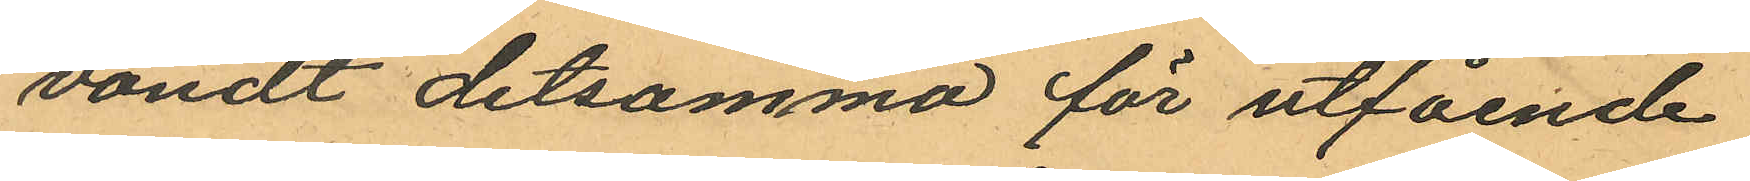vändt detsamma för utfående
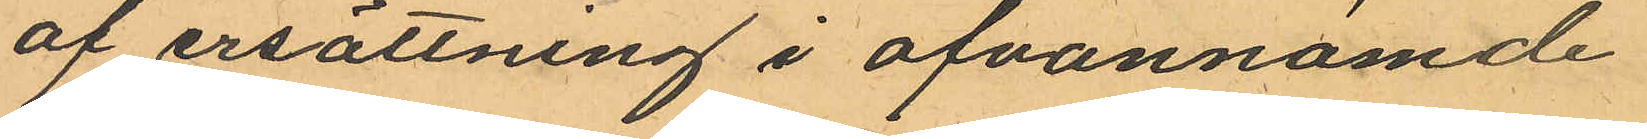af ersättning i ofvannämde
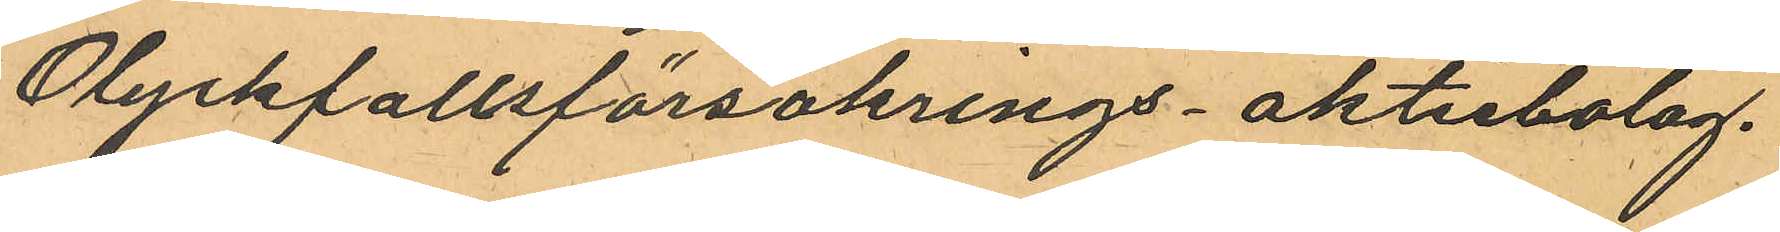Olyckfallsförsäkrings- aktiebolag.
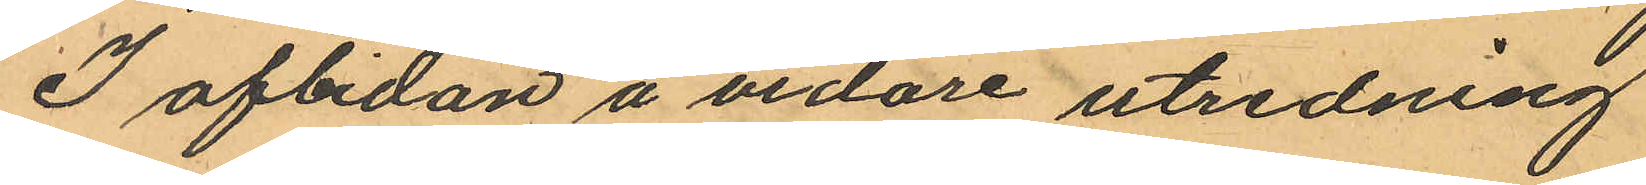I afbidan å vidare utredning
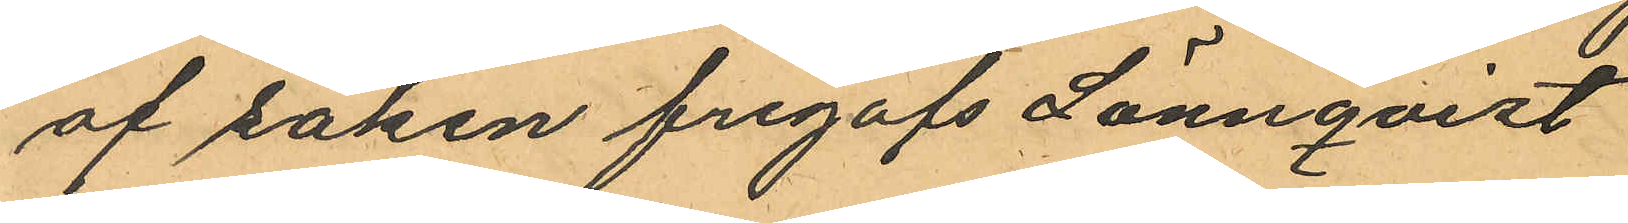af saken frigafs Lönnqvist
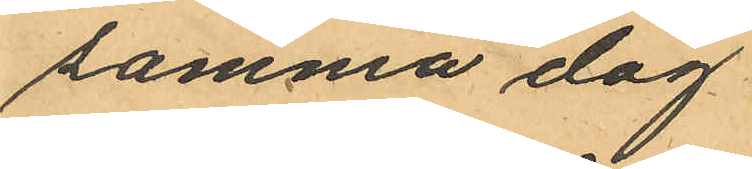samma dag
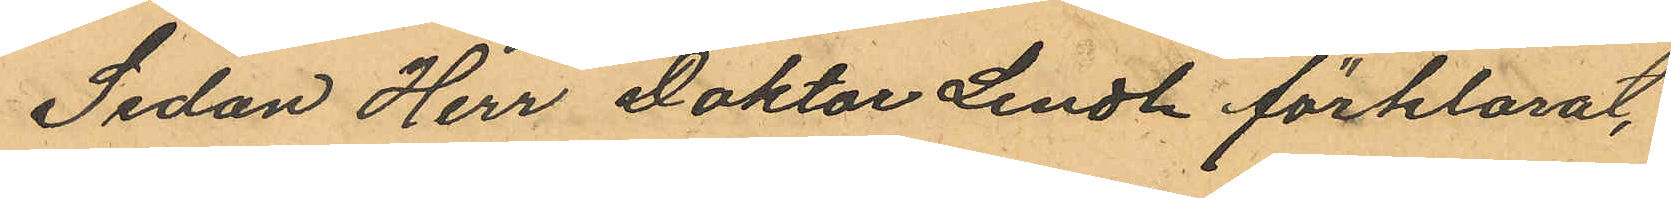Sedan Herr Doktor Lindh förklarat,
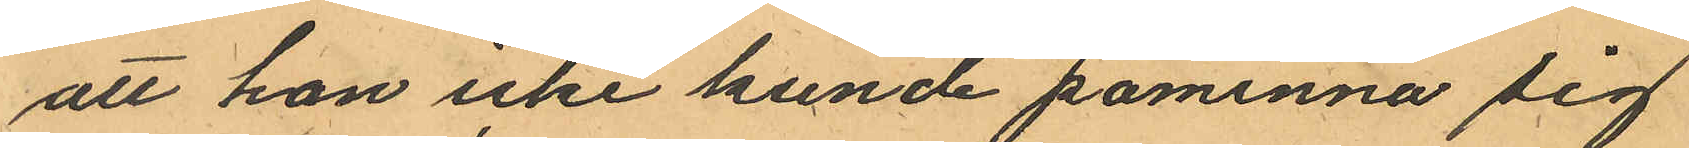att han icke kunde påminna sig
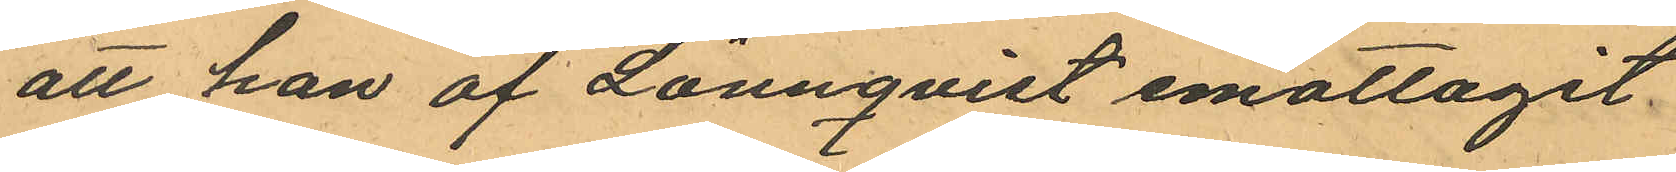att han af Lönnqvist emottagit
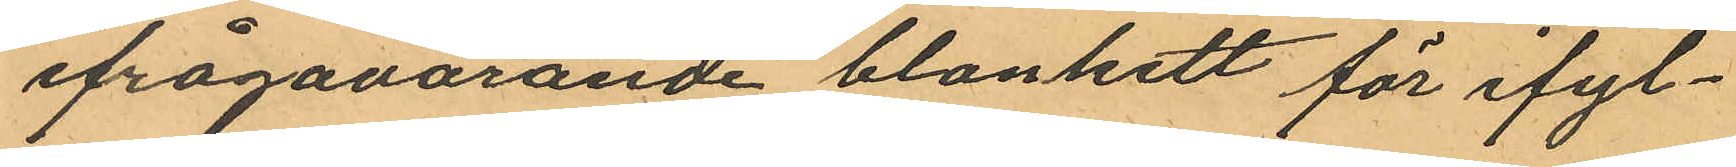ifrågavarande blankett för ifyl¬
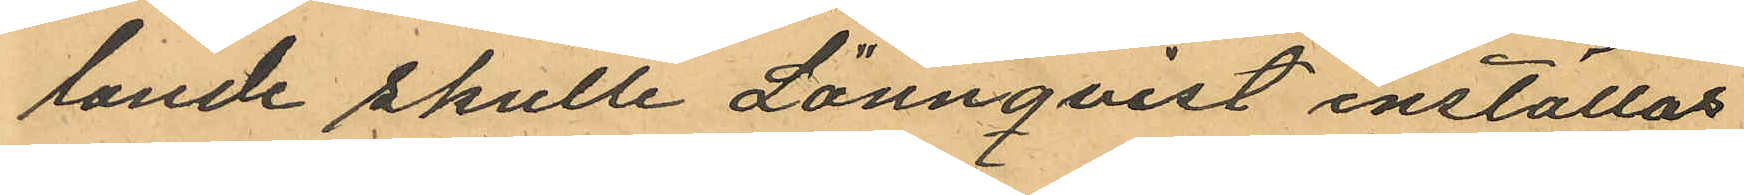lande skulle Lönnqvist inställas
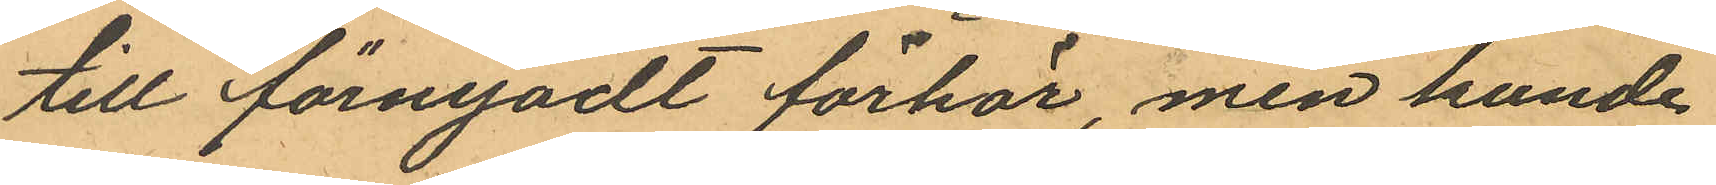till förnyadt förhör, men kunde
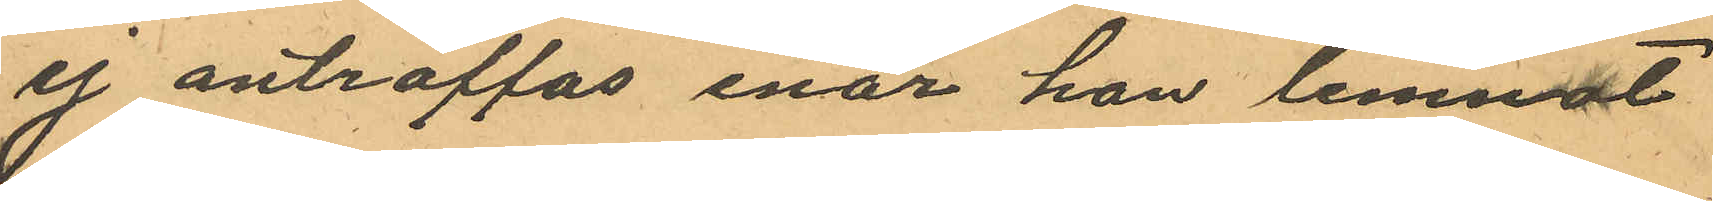ej anträffas enär han lemnat
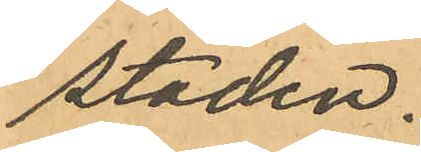staden.
